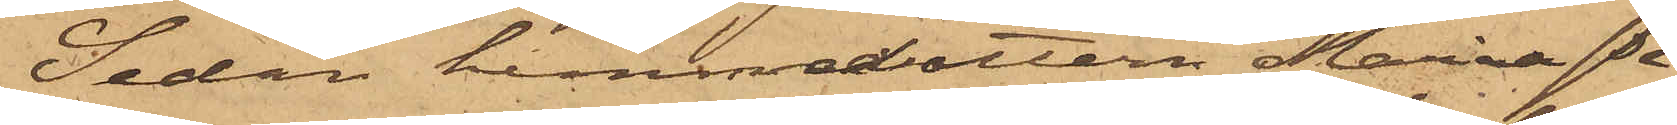Sedan hemmadottern Maria Pe¬
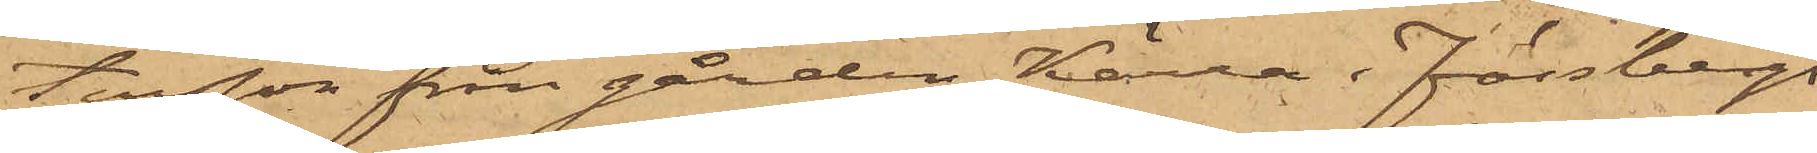tersson från gården Kärra i Fässbergs
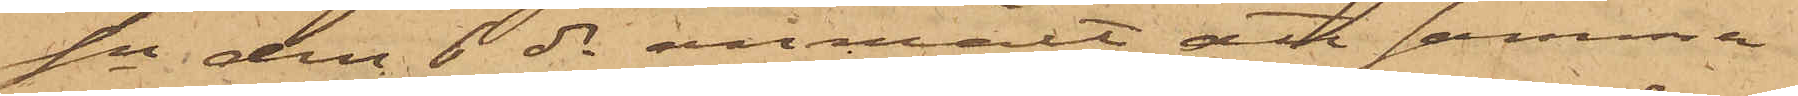sn den 6 ds anmält att samma
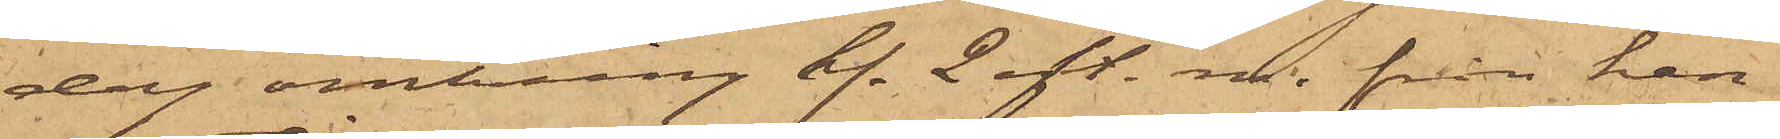dag omkring kl. 2 eft. m. från hen¬
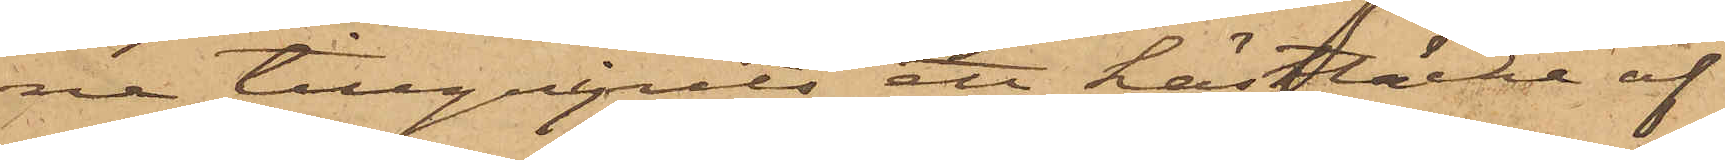ne tillgripits ett hästtäcke af
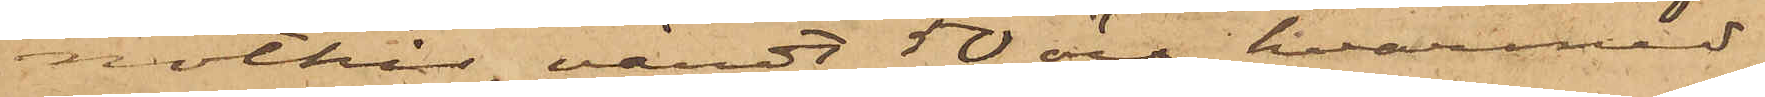nöthår, värdt 50 öre, hvarmed
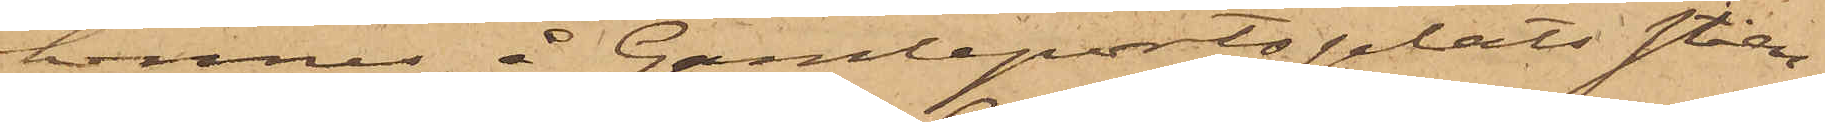hennes å Gamleportsplats ståen¬
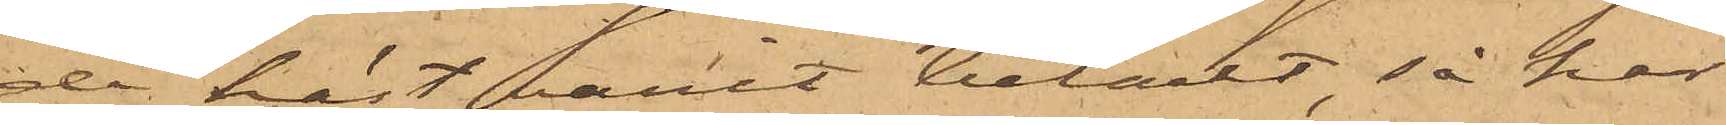de häst varit betäckt, så har
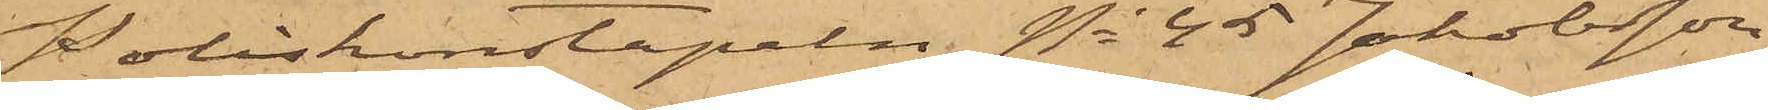Poliskonstapeln No 45 Jakobsson
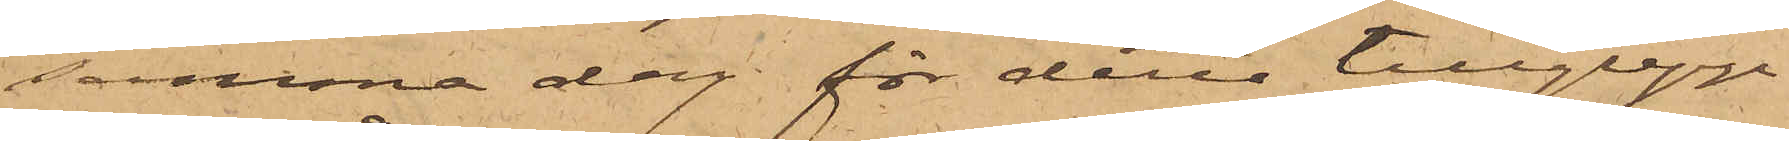samma dag för detta tillgrepp
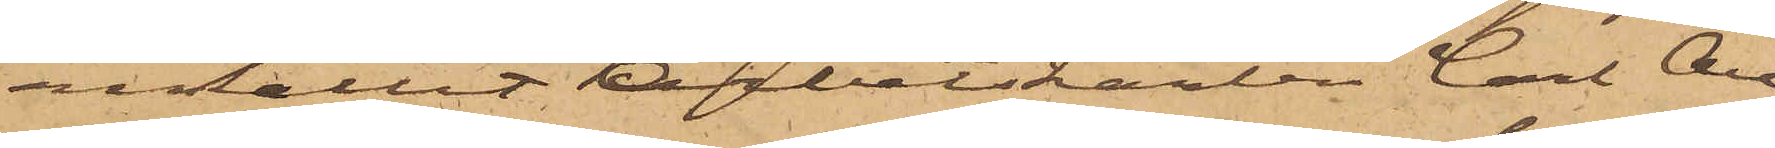anhållit Arbetskarlen Carl Au¬
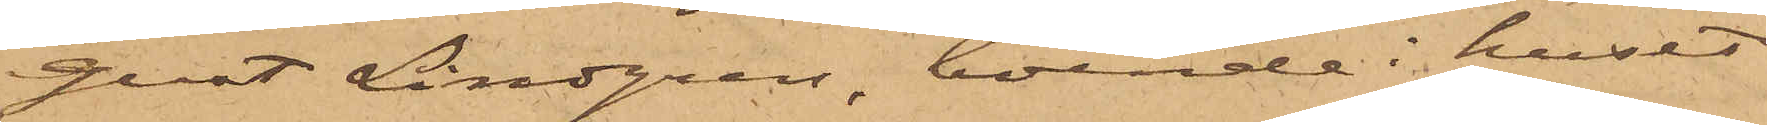gust Lindgren, boende i huset
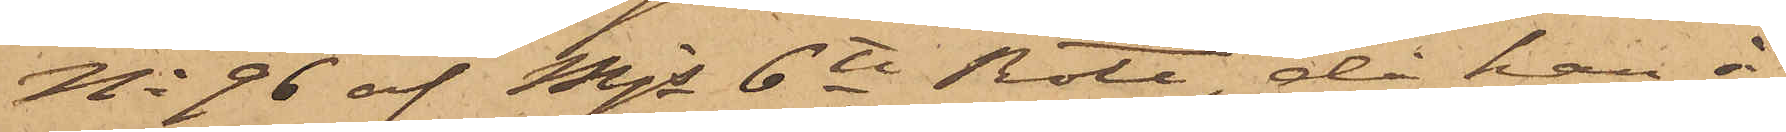No 96 af Mjs 6te Rote, då han å
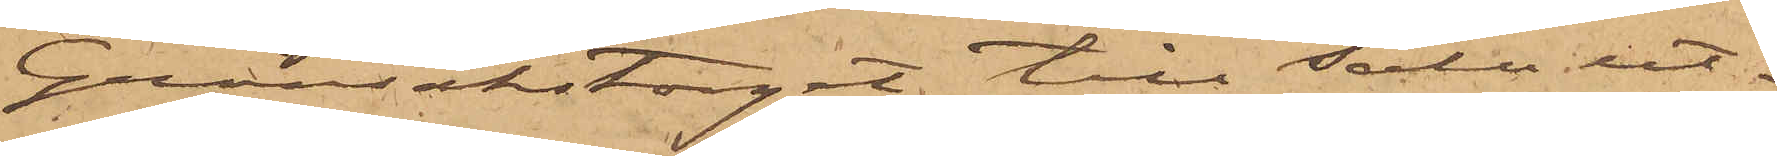Grönsakstorget till salu ut¬
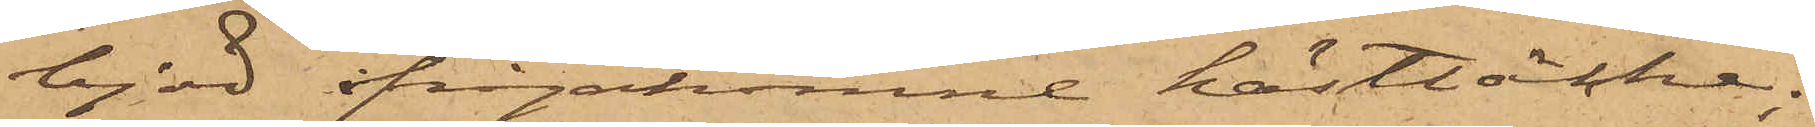bjöd ifrågakomne hästtäcke;
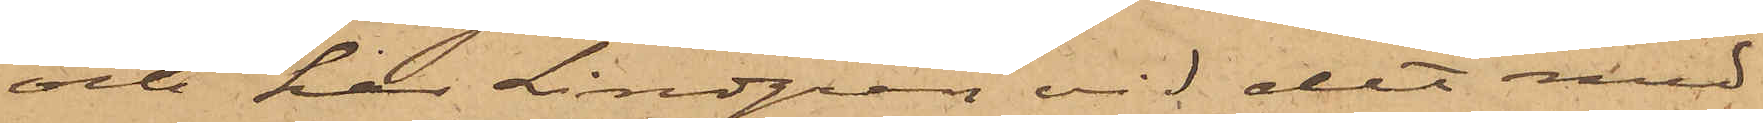och har Lindgren vid det med
